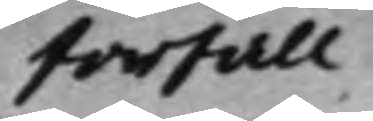forfall
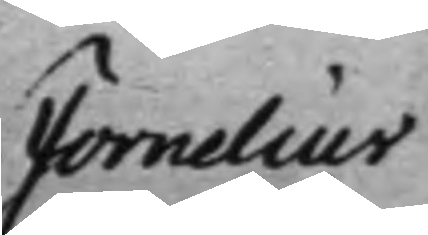Fornelius 
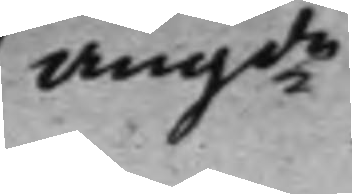Angde 
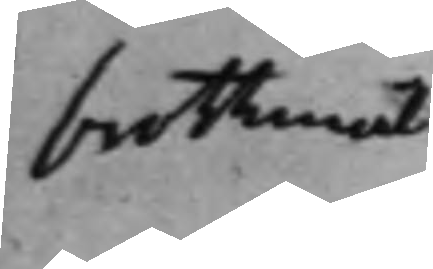brottmål
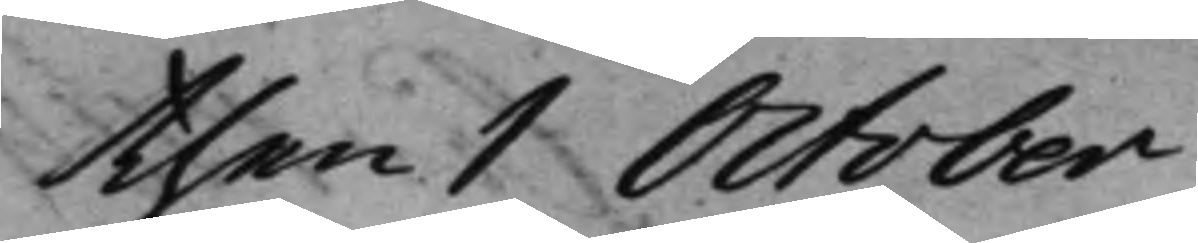then 1 October.
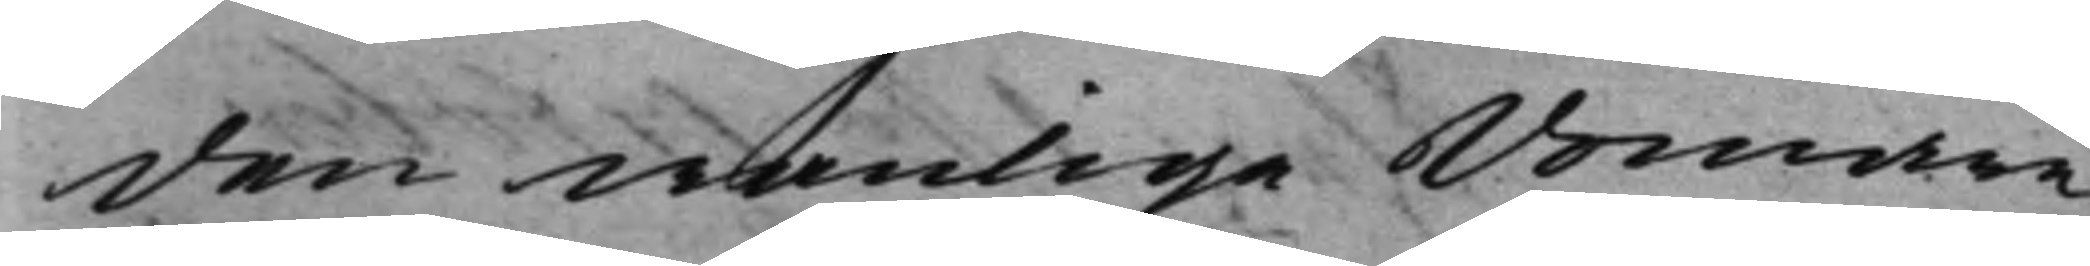den wanlige domare¬
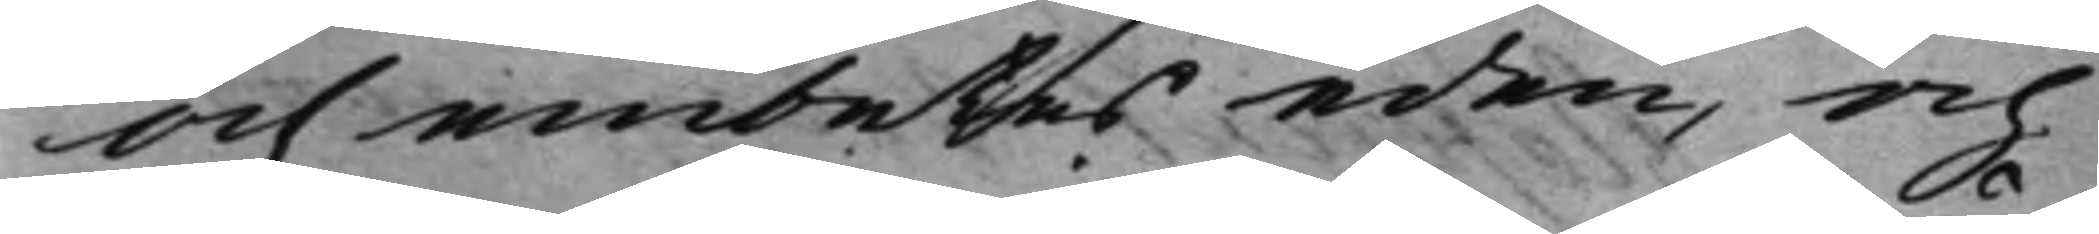och embetes eden, och
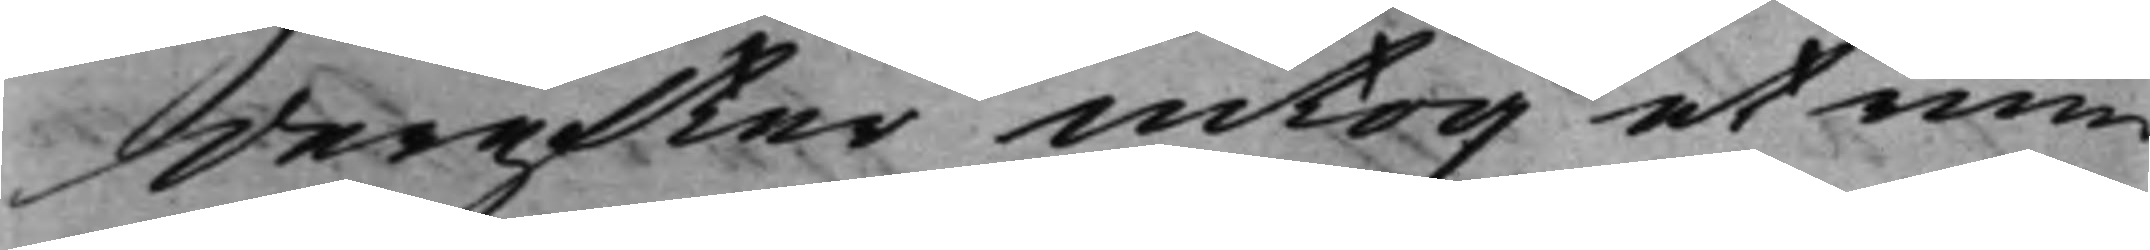derefter intog et rum
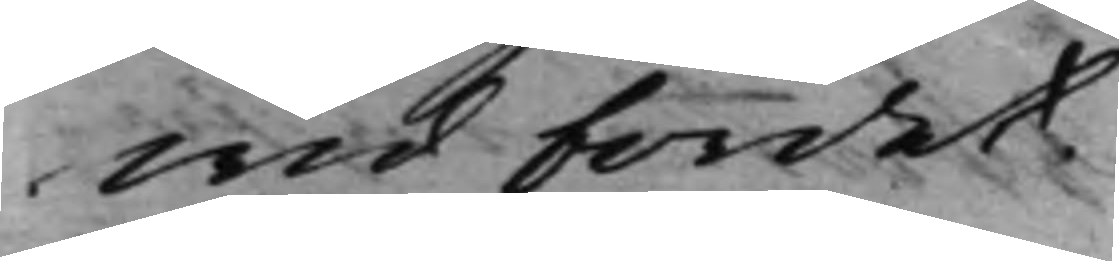wid bordet.
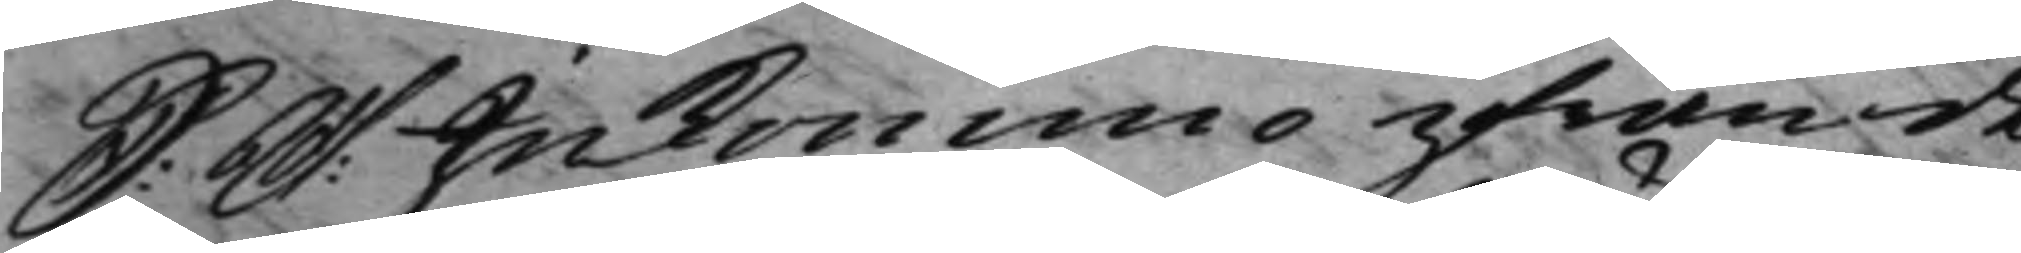S: D: Inkommo ifrån de 
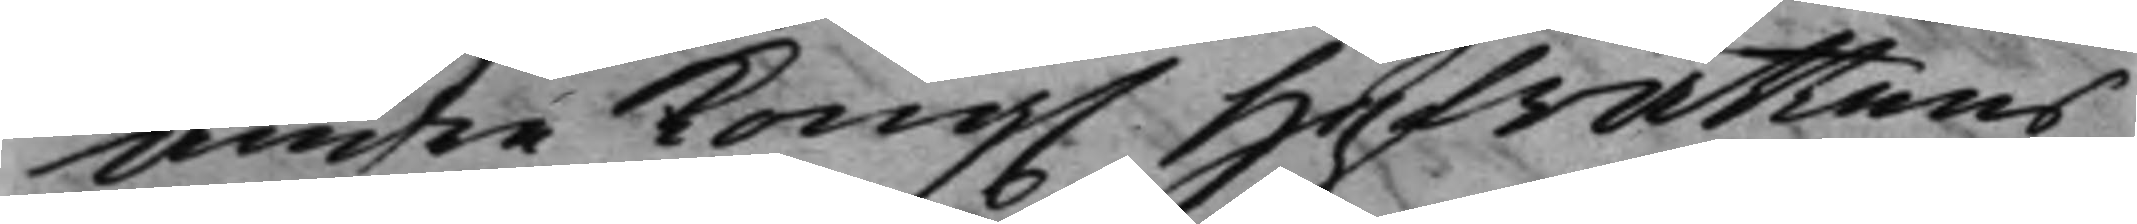andre Kong. Hofrättens 
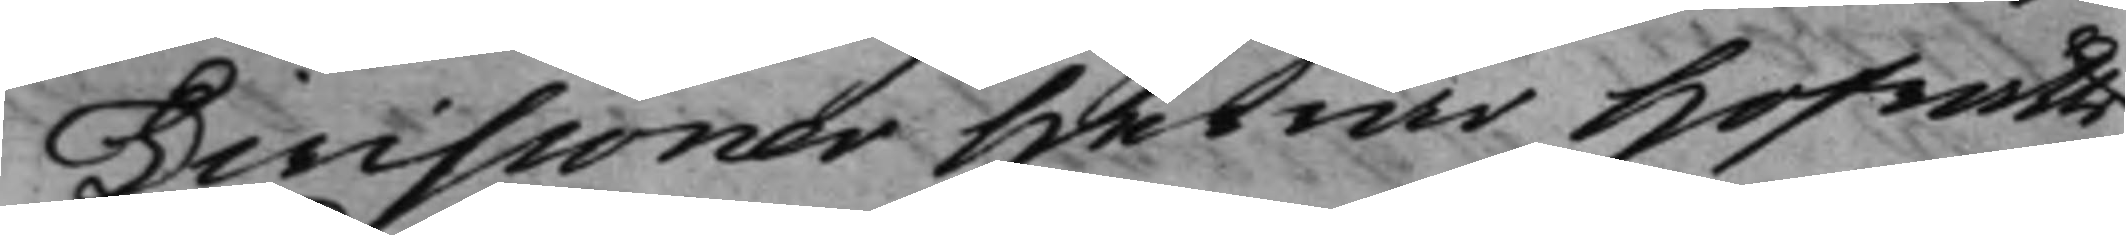Divisioner Herrar Hofrätts¬
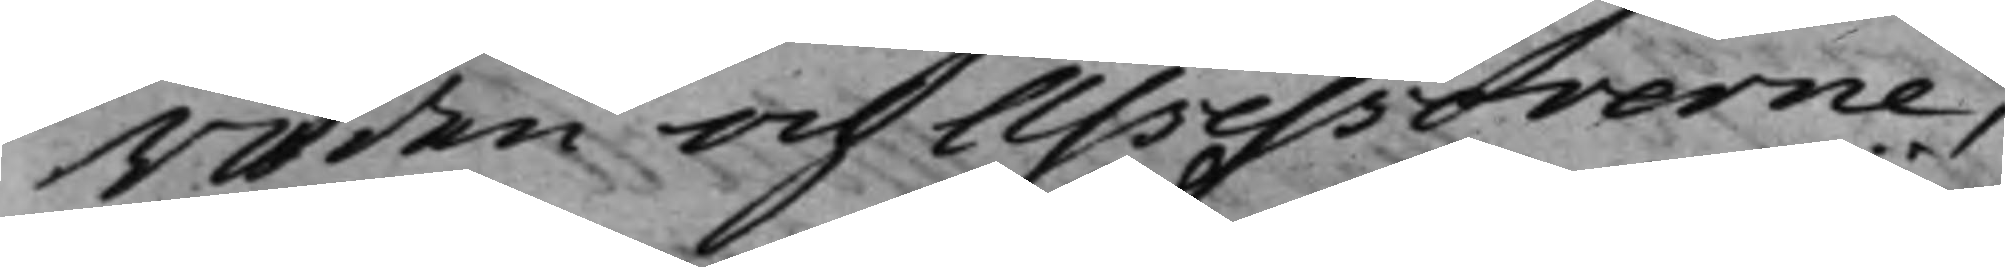Råden och Assessorerne,
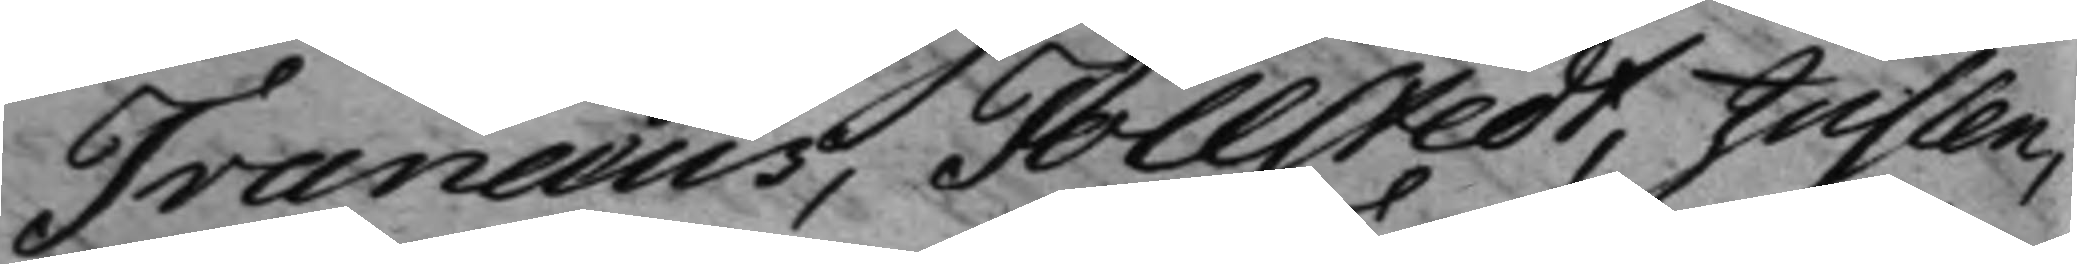Tranæus, Tollstedt, Juslen,
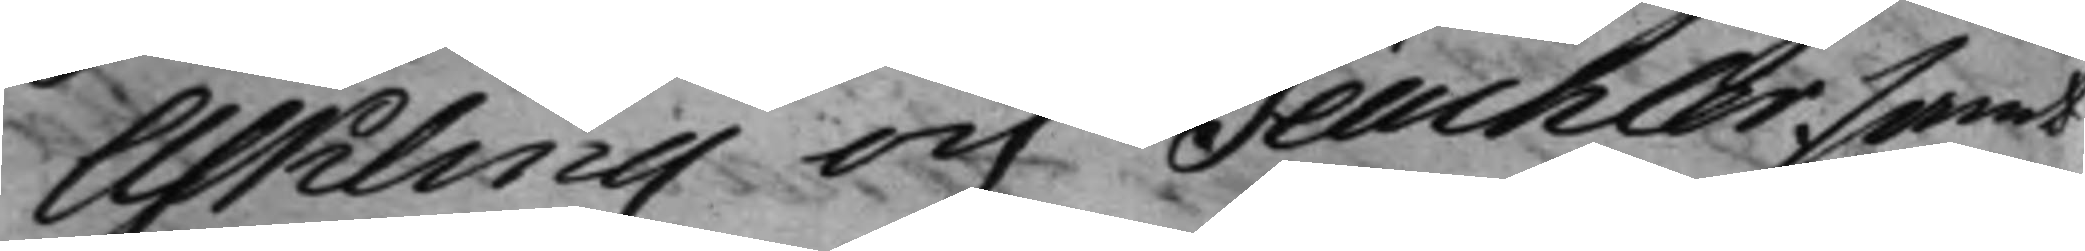Askling och Teuchler, samt
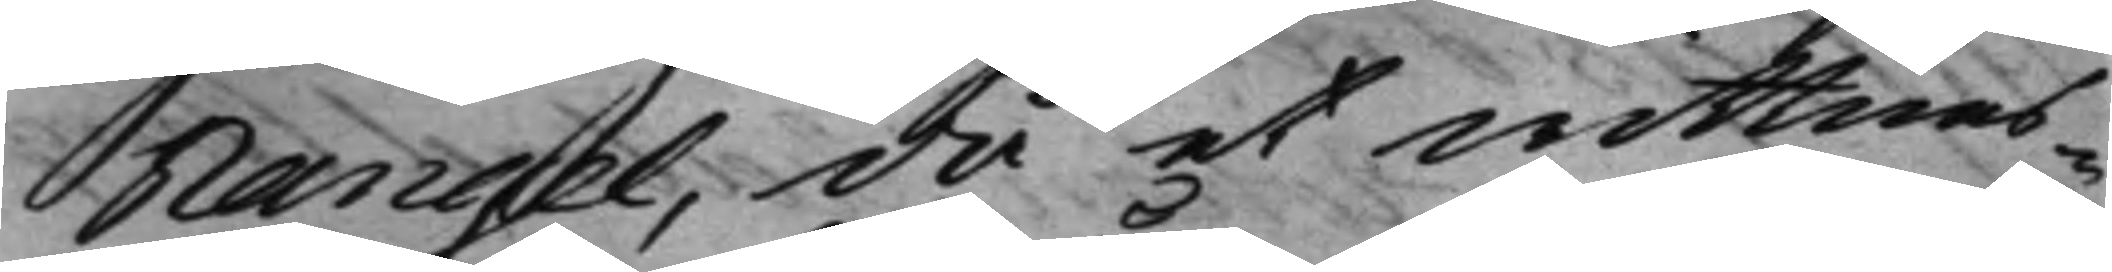Rangel, då et wittnes¬
